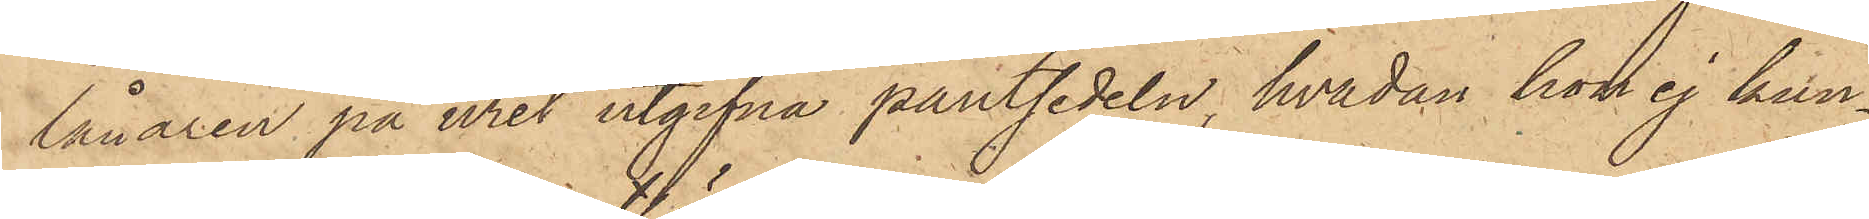lånaren på uret utgifna pantsedeln, hvadan hon ej kun¬
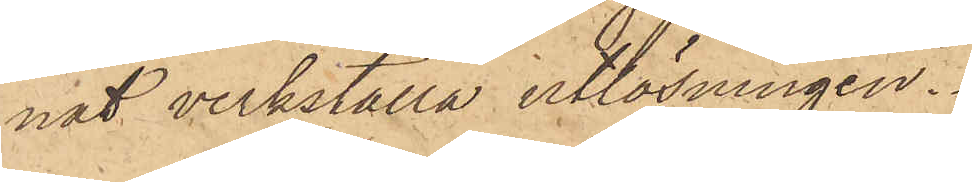nat verkställa utlösningen.
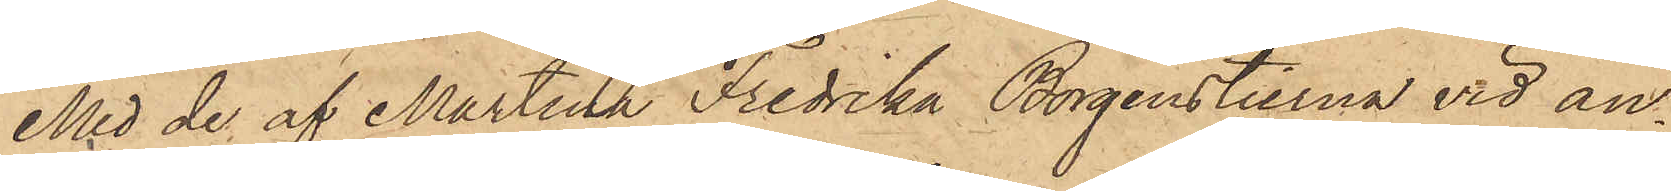Med de af Martina Fredrika Borgenstierna vid an¬
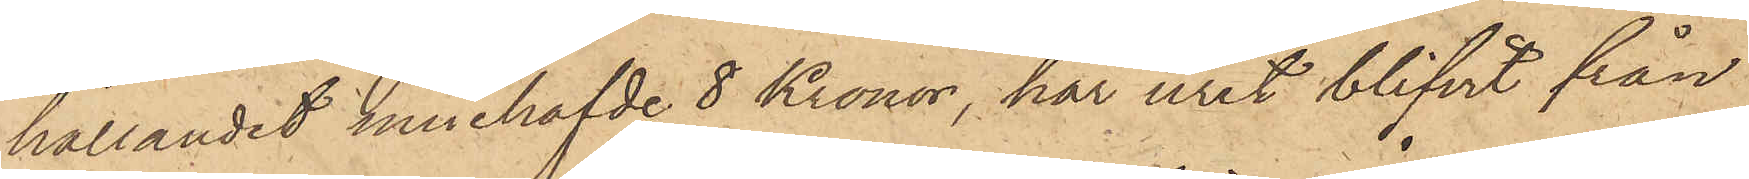hållandet innehafvde 8 Kronor, har uret blifvit från
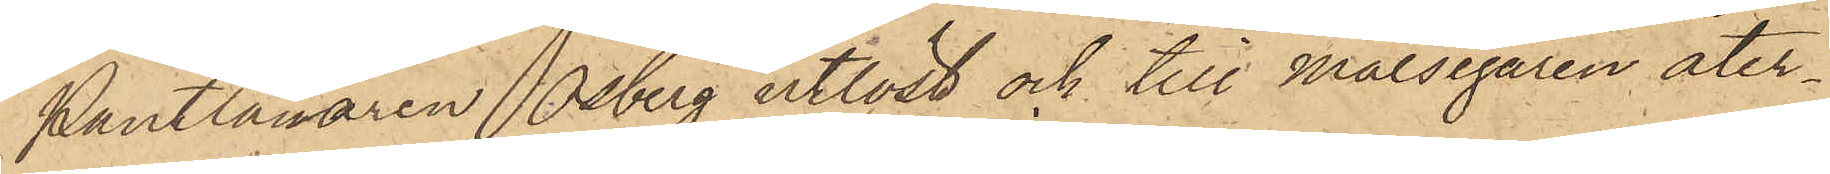Pantlånaren Osberg utlöst och till Målsegaren åter¬
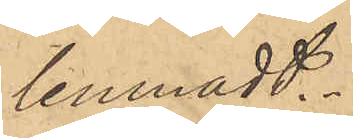lemnadt.
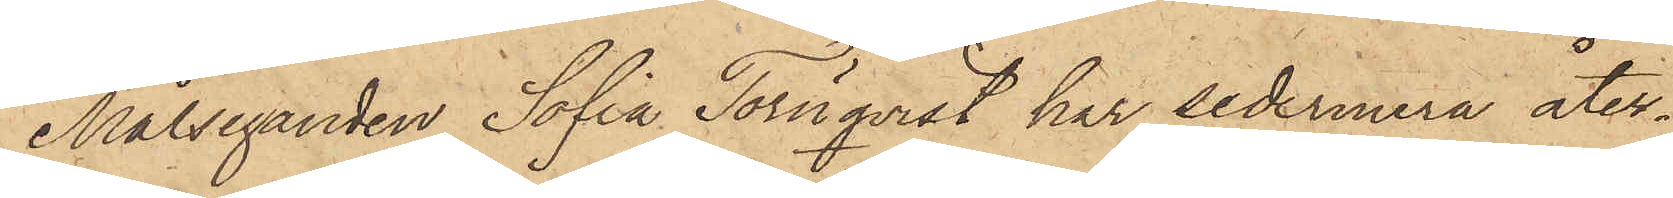Målseganden Sofia Törnqvist har sedermera åter¬
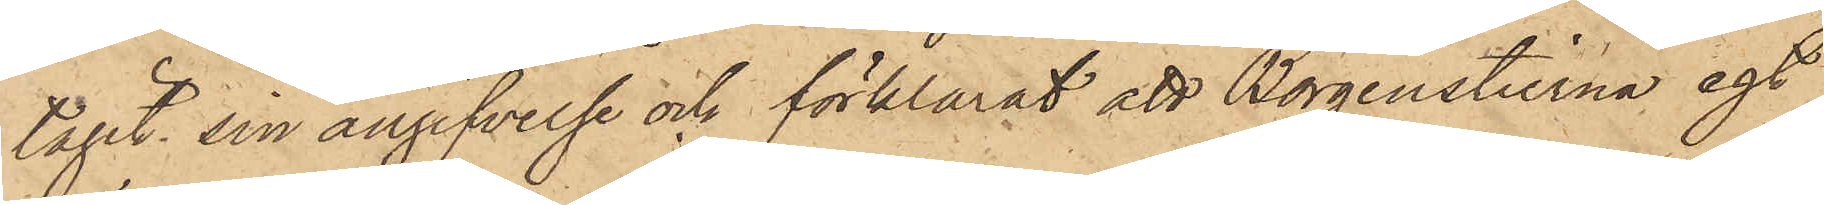tagit sin angifvelse och förklarat att Borgenstierna egt
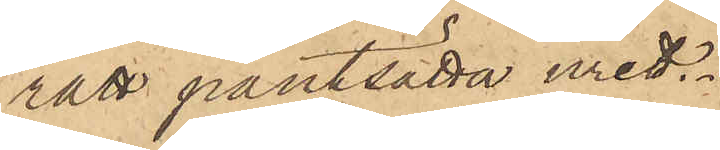rätt pantsätta uret.
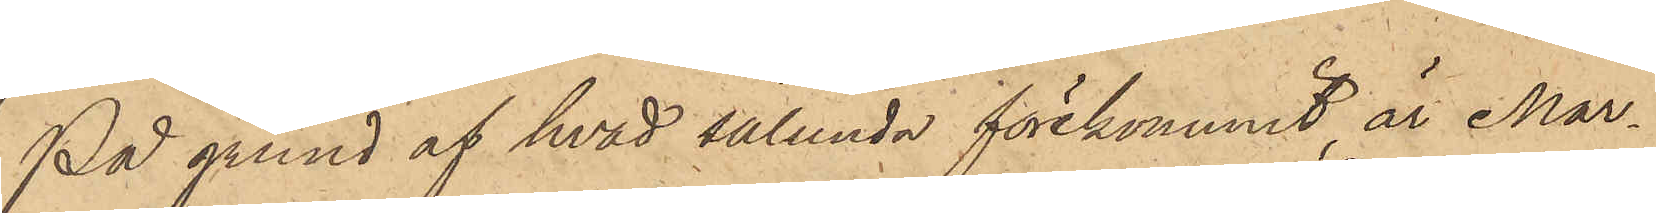På grund af hvad sålunda förekommit är Mar¬
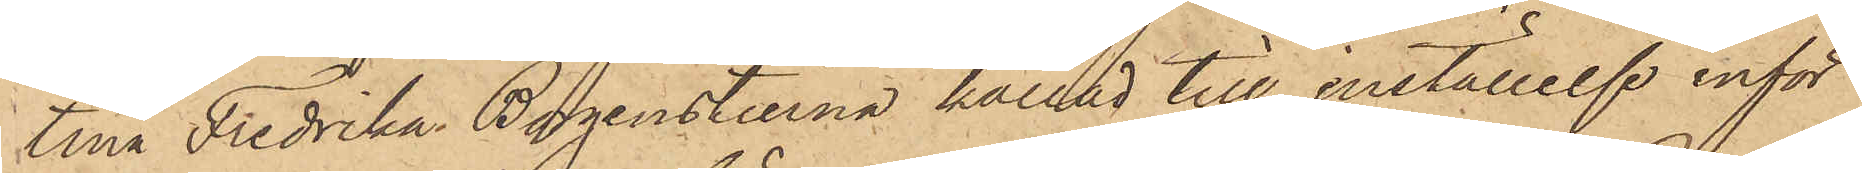tina Fredrika Borgenstierna kallad till inställelse inför
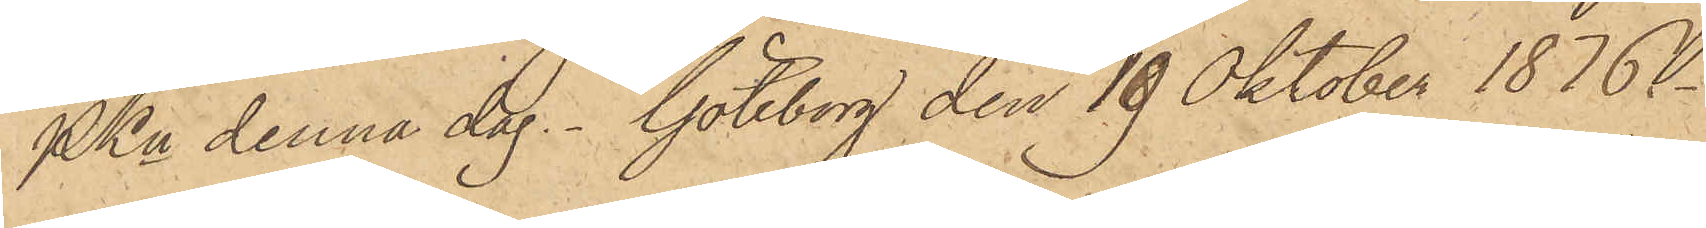PKn denna dag. Göteborg den 19 Oktober 1876.
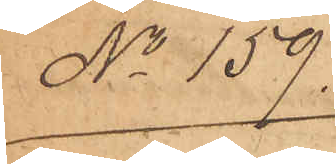No 159.
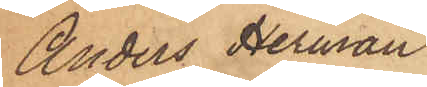Anders Herman
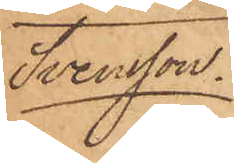Svensson.
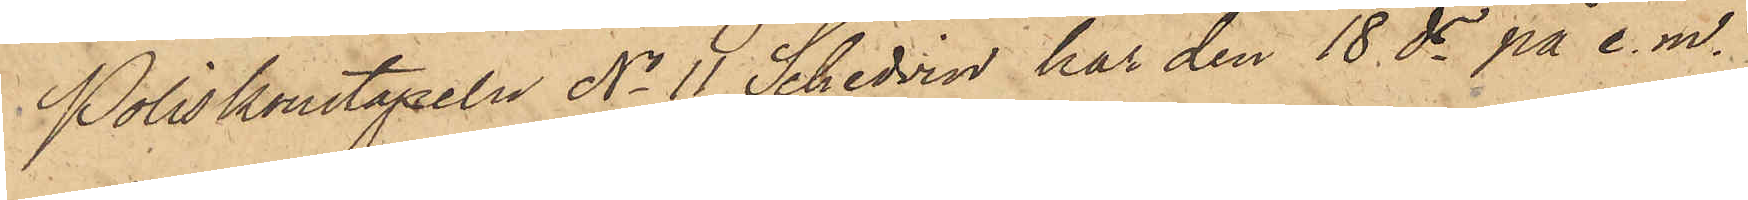Poliskonstapeln No 11 Schedvin har den 18 ds på e. m.
